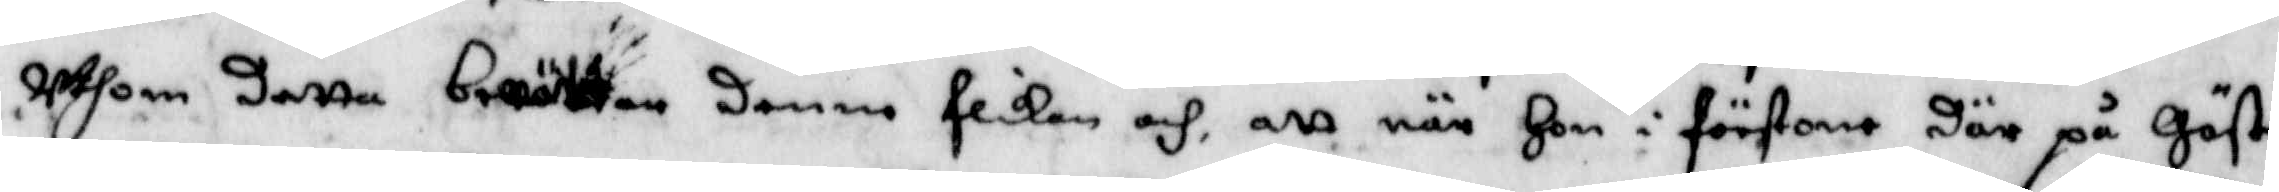uthom detta berättade denne flickan och att när hon i förstone där på Gäste¬
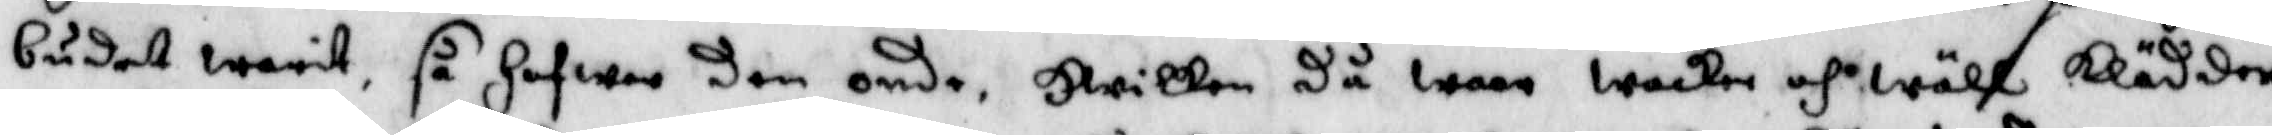budet warit, så Hafwer den onde, Hwilken då waar wacker och wähl klädder
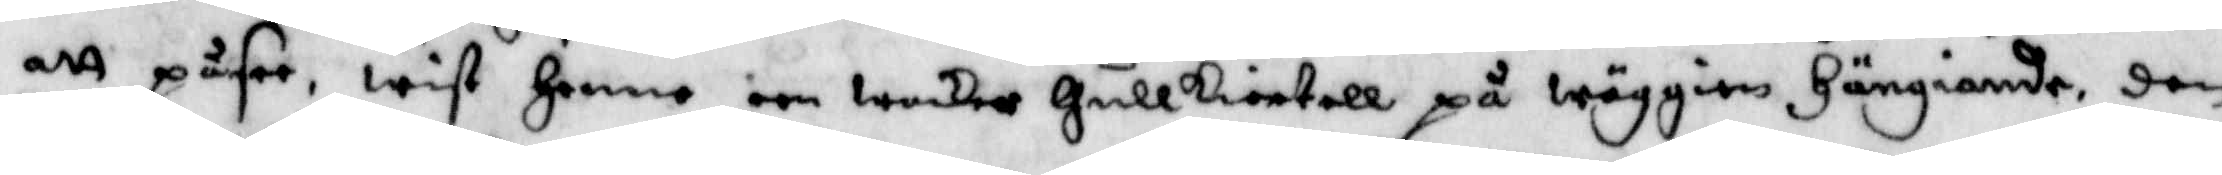att påsee, wist henne een wacker Gullkiortell på wäggien Hängiande, den
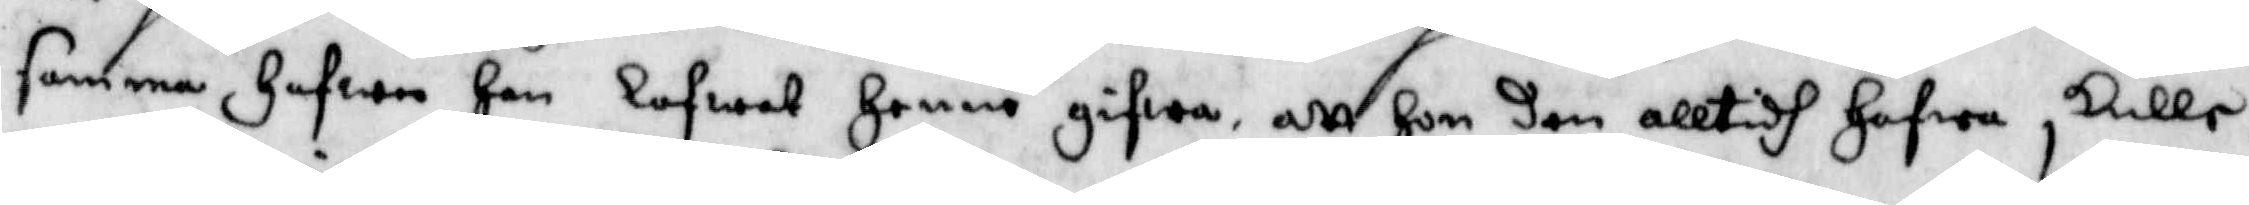samma Hafwen han lofwat henne gifwa att hon den alltydh Hafwa skulle
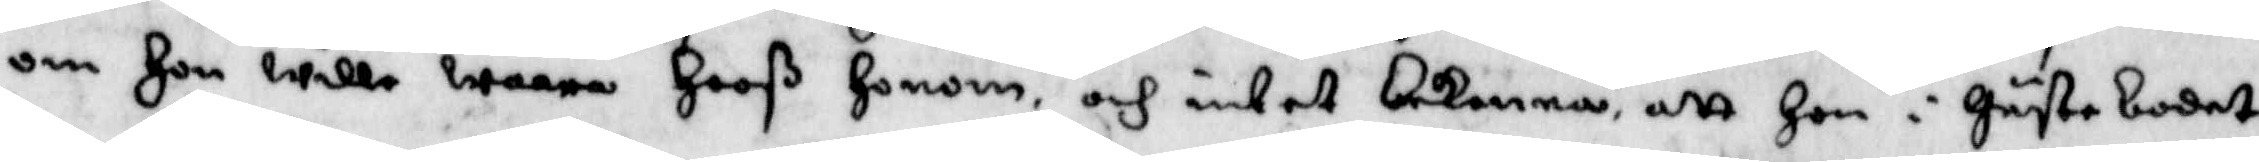om Hon wille waara Hooß Honom och intet bekenna att Hon i Gästebudet
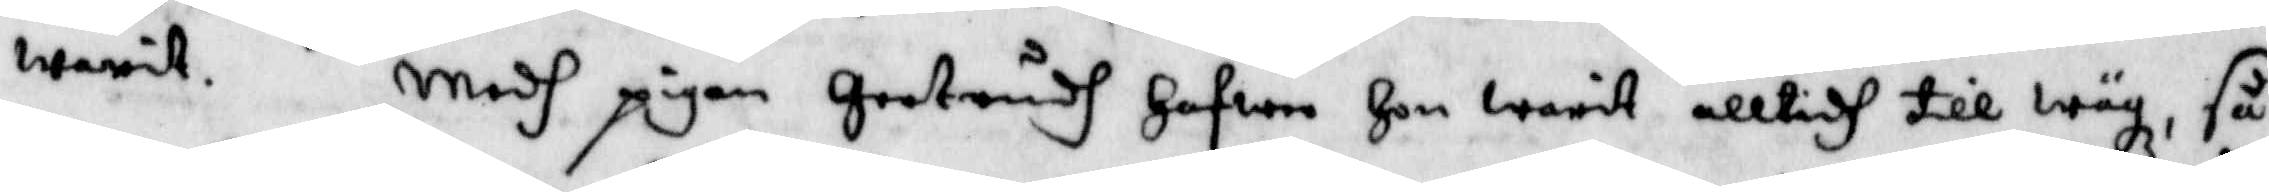warit. Medh pigan Gertrudh Hafwer Hon warit alltydh till wäg, så
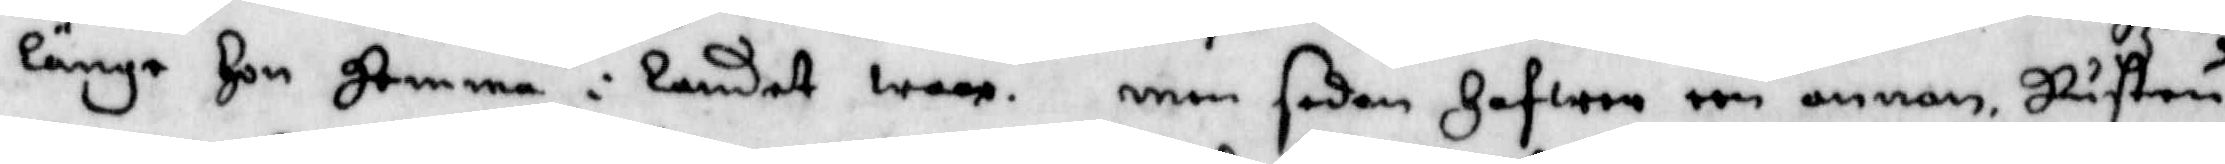länge Hon Hemma i landet wore. men sedan Hafwer een annan, Hustru
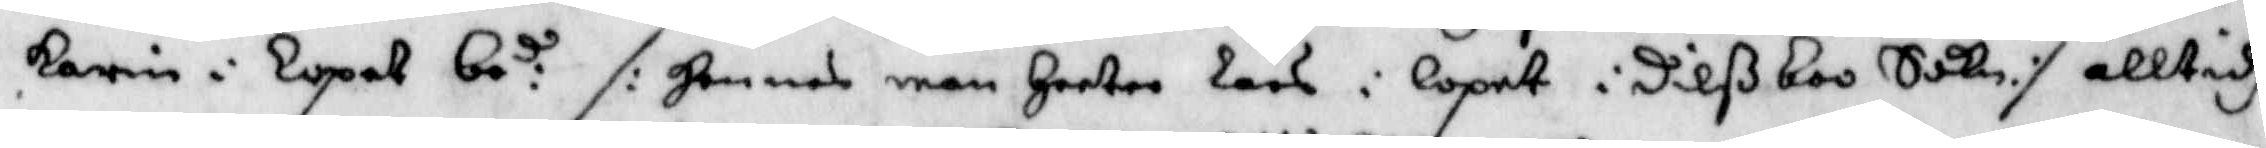Karin i Lopet be:d /: Hennes man Heeter Lars i Lopet i Dilßboo Sockn :/ alltidh
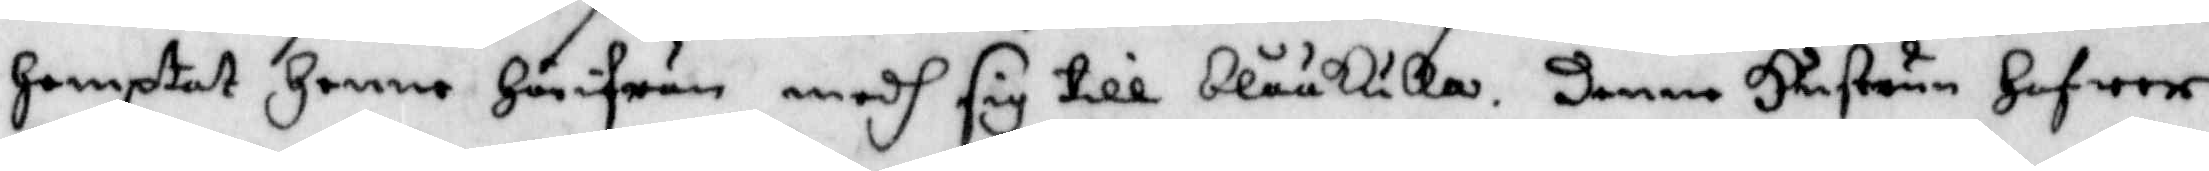Hemptat Henne Härifrån medh sig till blååkulla. Denne Hustrun Hafwer
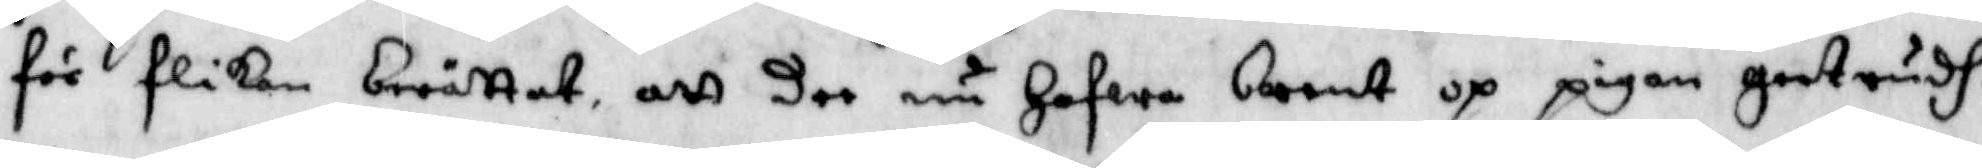för flikan berättat att dee nu Hafwa brent op pigan Gertrudh.
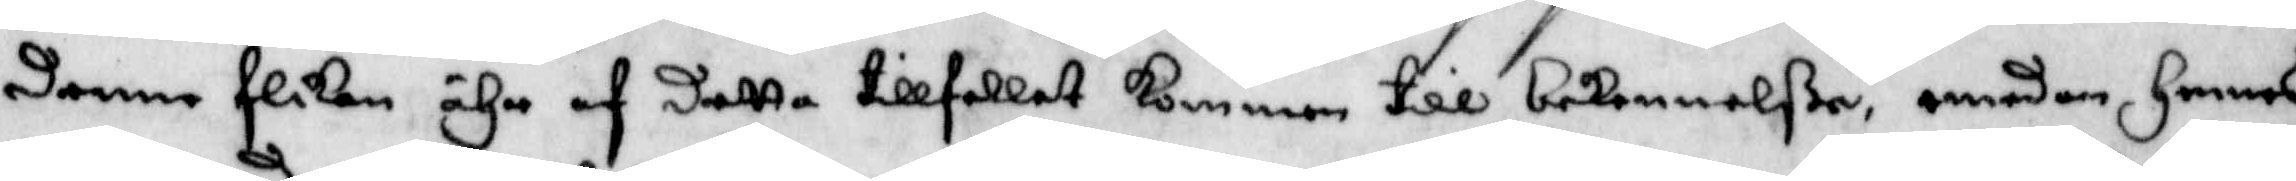Denne flikan ähr af detta tillfellet kommen till bekennelße, emedan Hennes
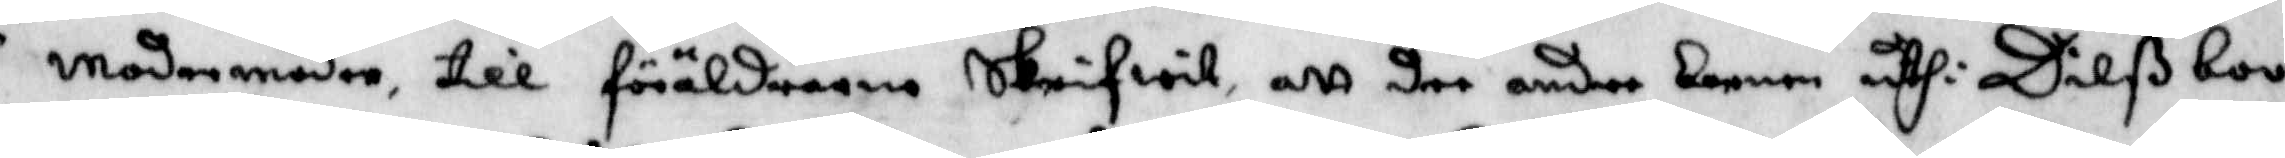Morfader och Modermoder till föräldrarna skrifwit att dee andre narnen uthi Dilßboo
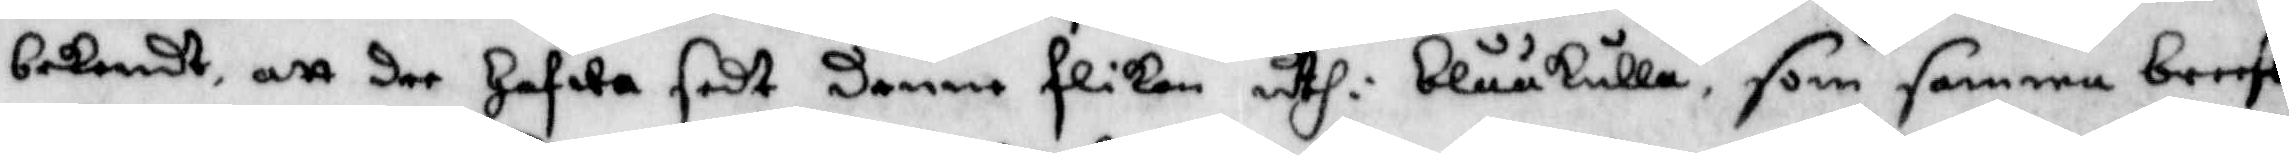bekendt, att dee Hafwa sedt denne flikan uthi blååkulla, som samma breeff
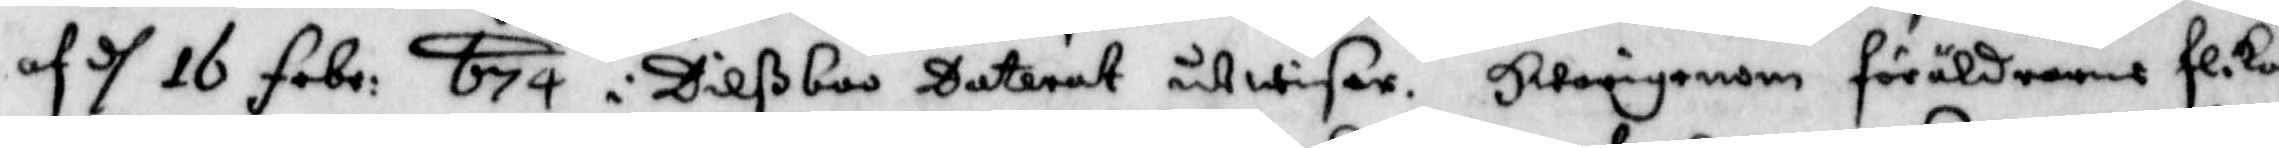af d 16 febr 674 i Dilßboo Daterat utwisar. Hwarigenom föräldrarna flikan
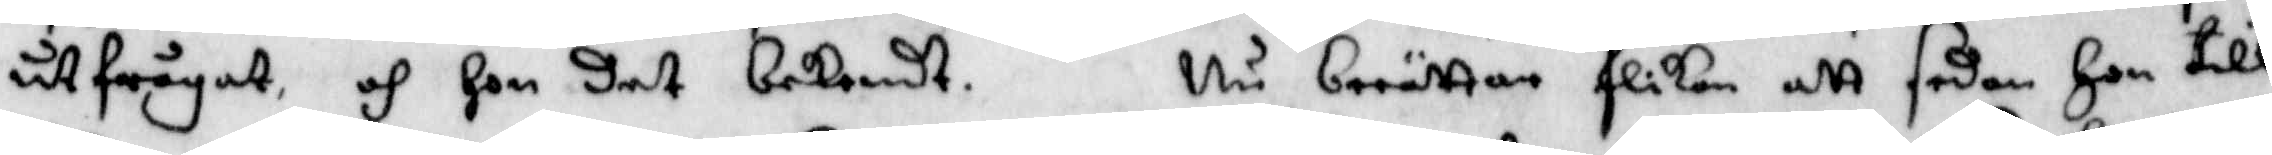utfrågat och hon det bekendt. Nu berättar flikan att sedan Hon till
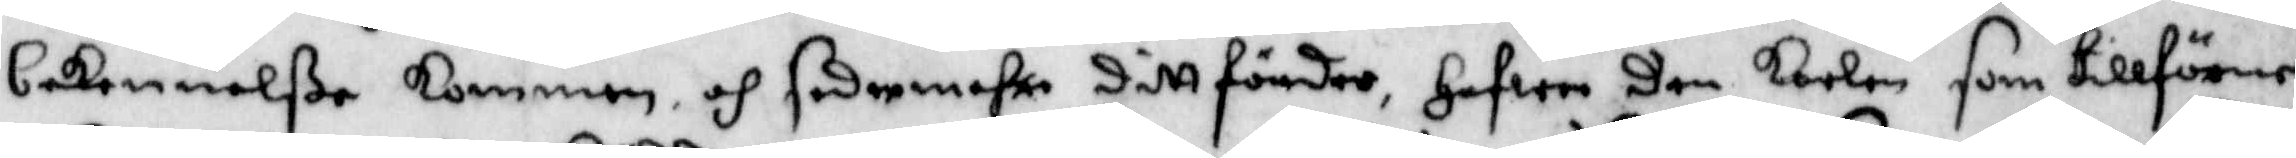bekennelße kommen, och sedermehra sittförder, Hafwer den karlen som tillförne
